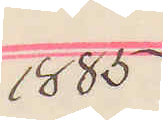1885
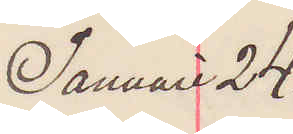Januari 24.
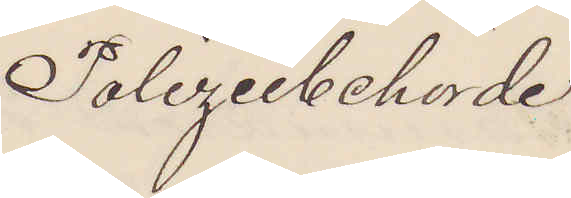Polizeibehörde
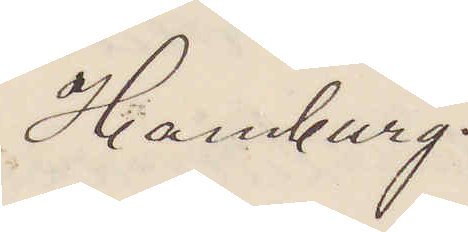Hamburg.
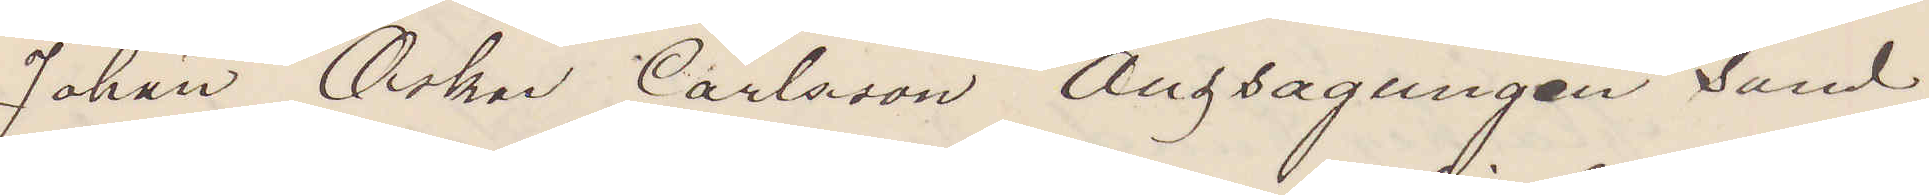Johan Oskar Carlsson Auzsagungen sand
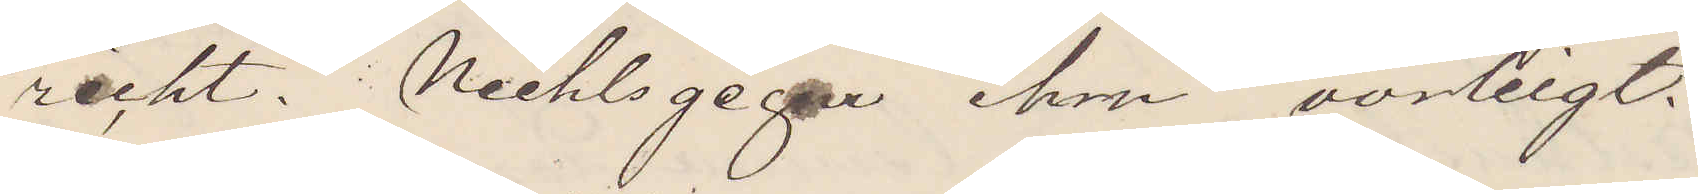recht. Nechlsgegen him vorleigt
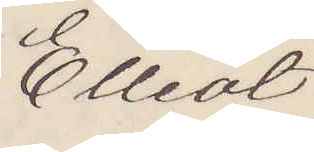Elliot
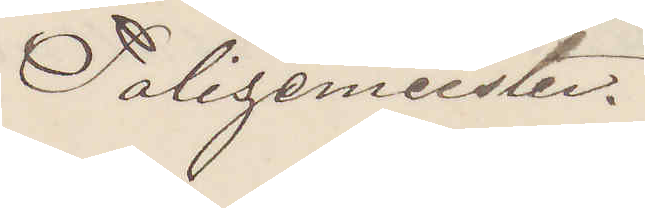Polizeimeister.
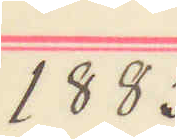1885
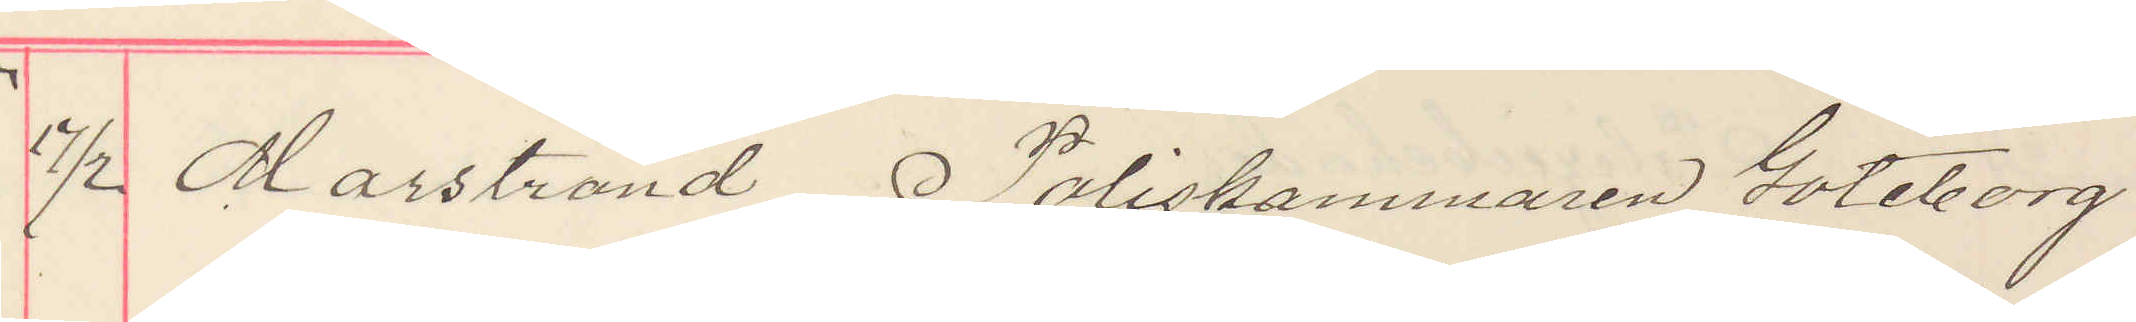17/2 Marstrand Poliskammaren Göteborg
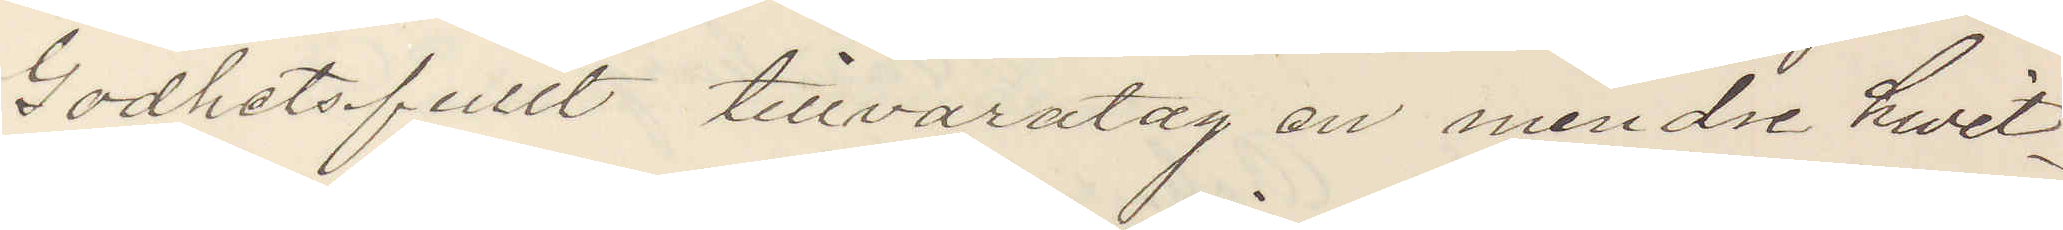Godhetsfullt tillvaratag en mindre hwit¬
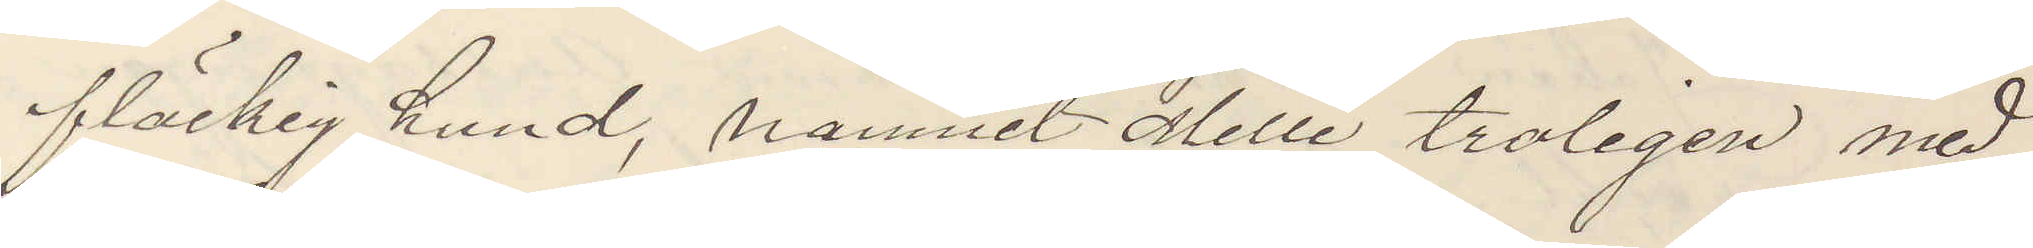fläckig hund, namnet Mille troligen med
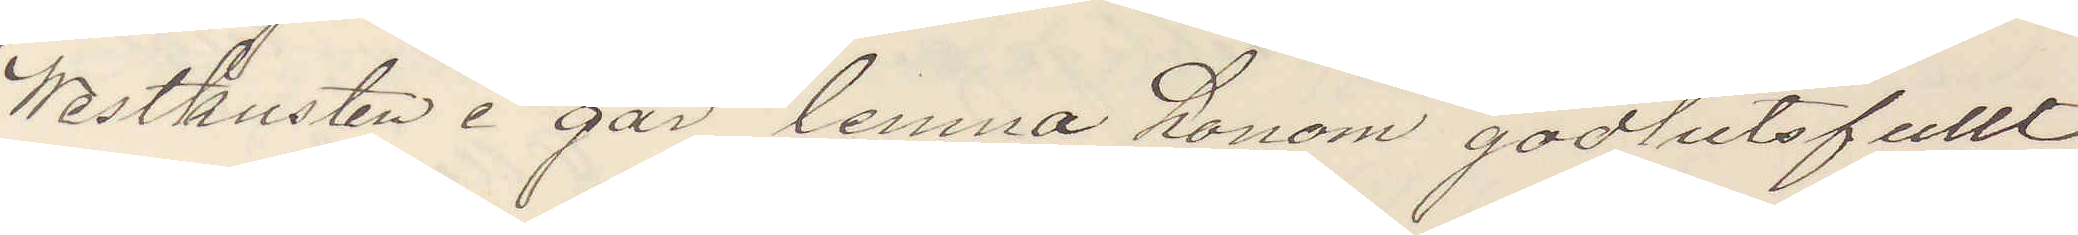Westkusten i går lemna honom godhetsfullt
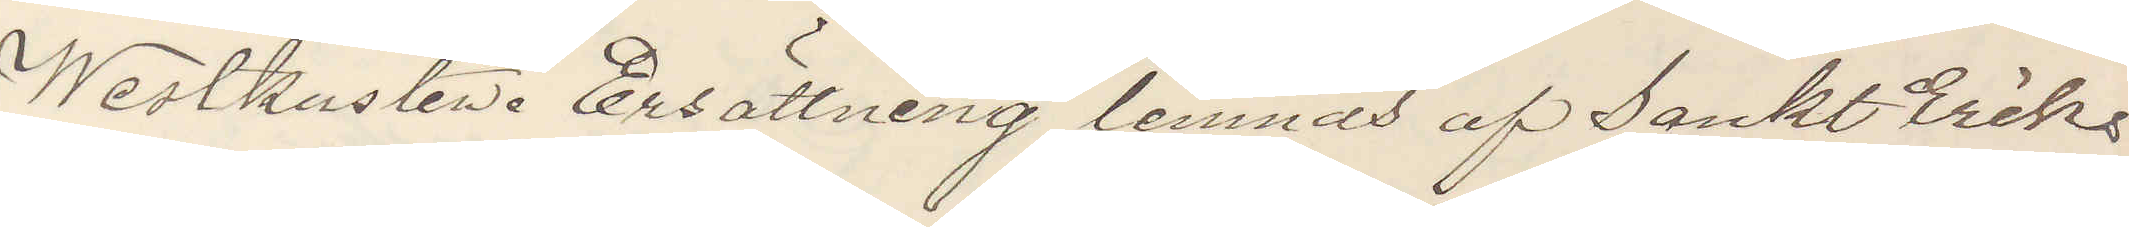Westkusten Ersättning lemnas af Sankt Eriks
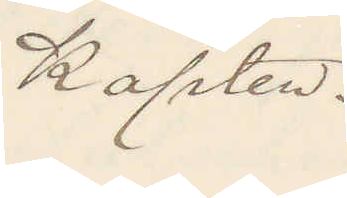Kapten.
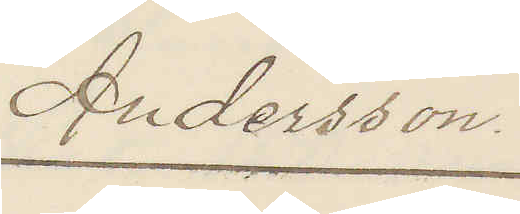Andersson.
